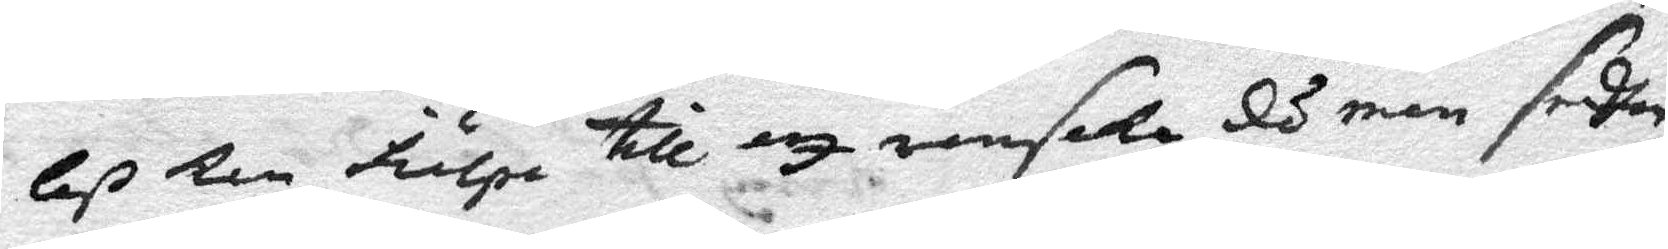leß Kan hulpa till att ransaKa, då man sedhan
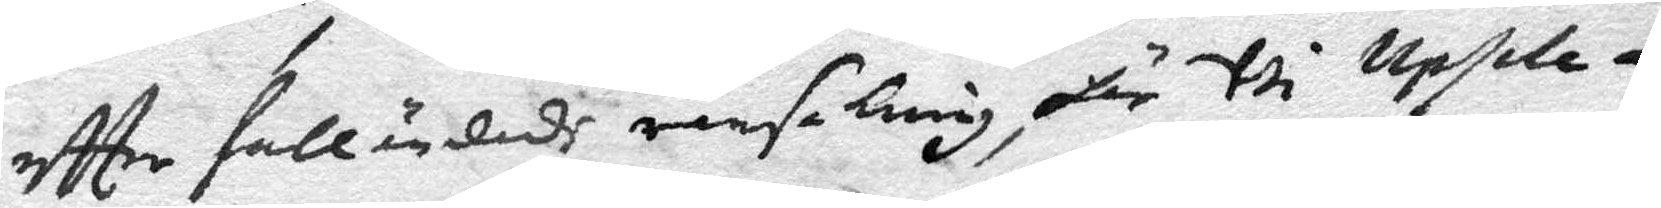effter fulländadh ransaKning, här Uti Upsala
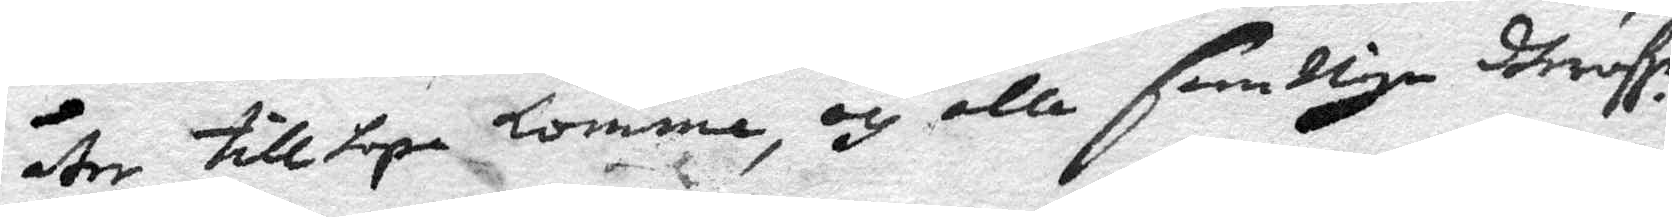åter tillhopa komma, och alla samtliga dheröfer
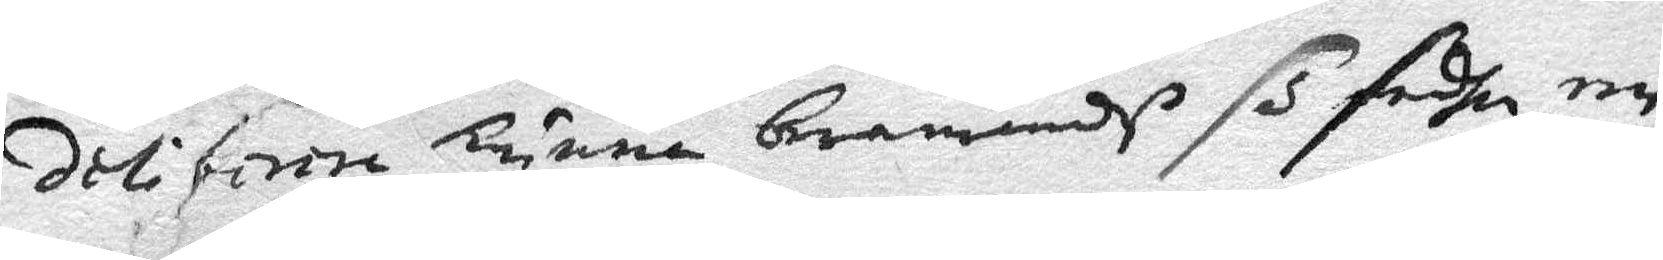... ... künna, b....edh så sedhan een
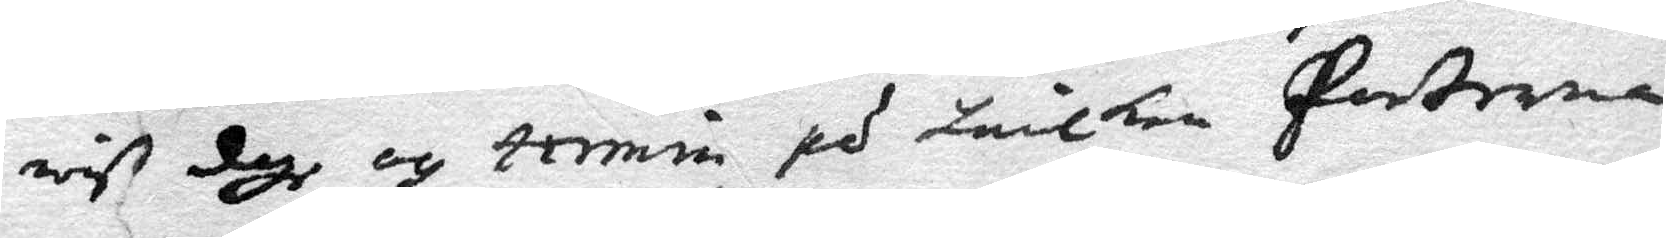viss dagh och termin, på hvilken Parterna
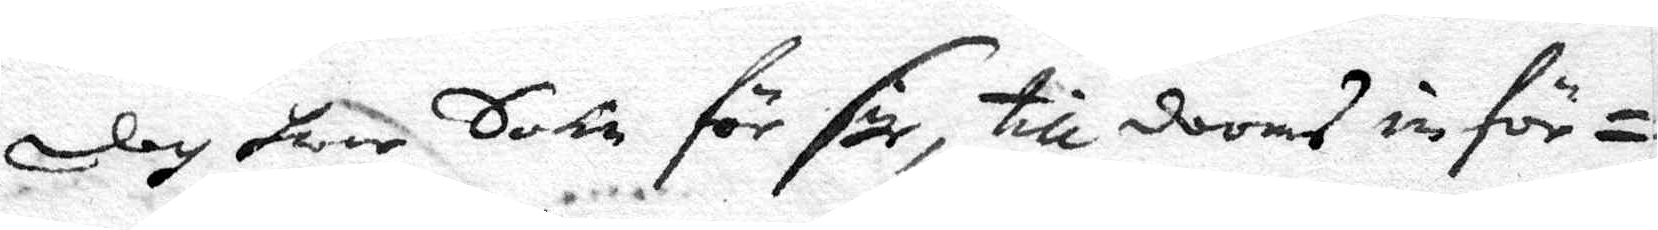dag hwar Sockn för sigh, till dooms inför¬
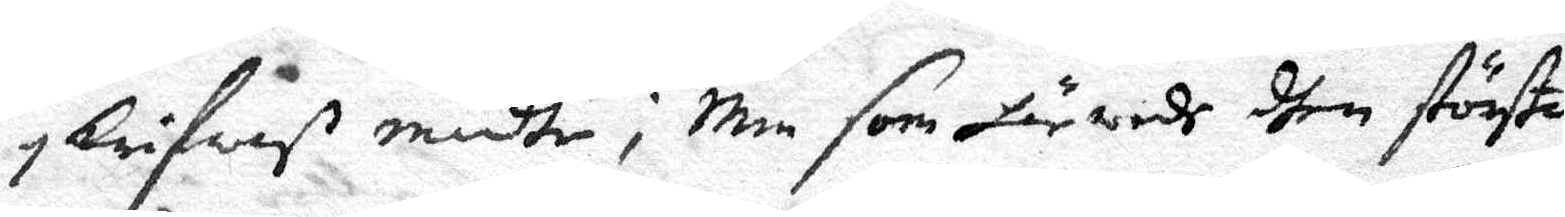skrifwes mådte; Men som härwedh dhen störste 
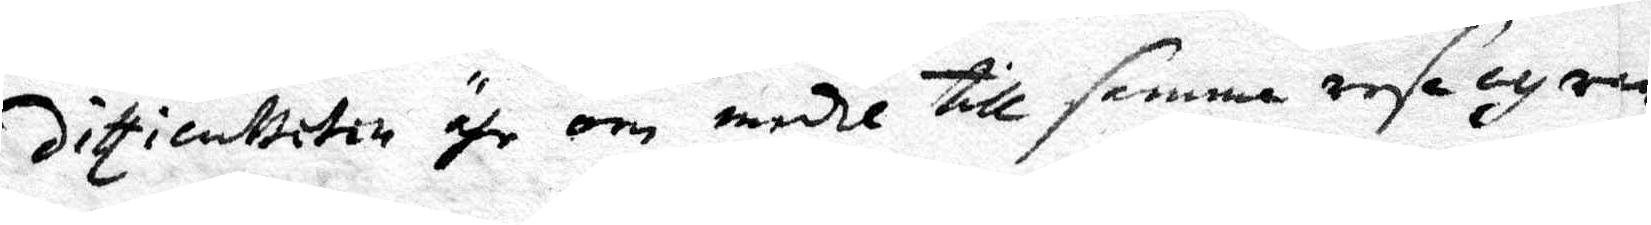Diffienttiten ähr om medhl till samma resa och ran¬
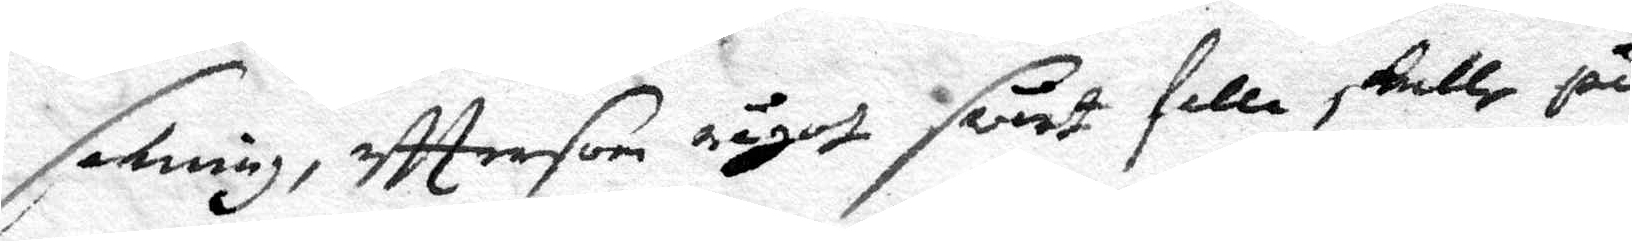sakning, efftersom något svårt falla sKulle på
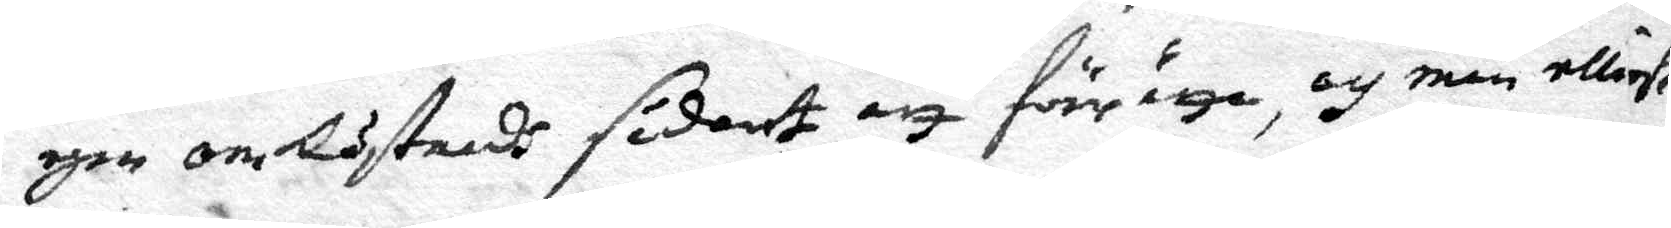egen omlåstnadh sådant att förringa, och man elliest
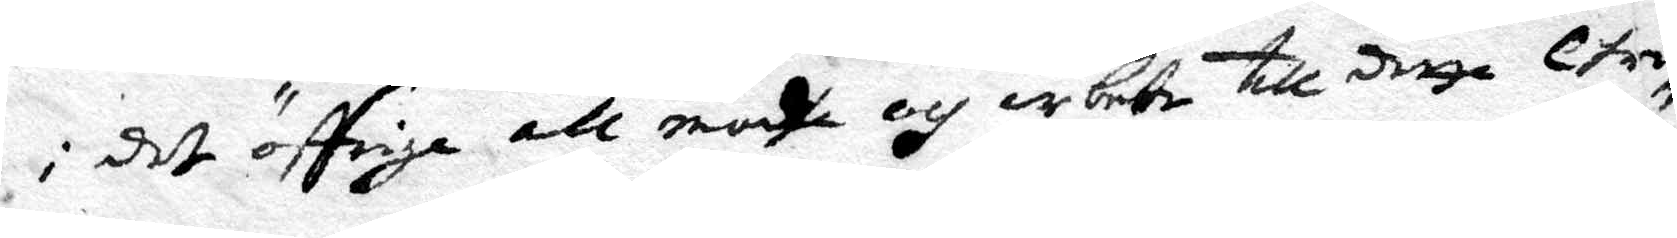i det öffrige all mödha och arbete till detta Chri¬
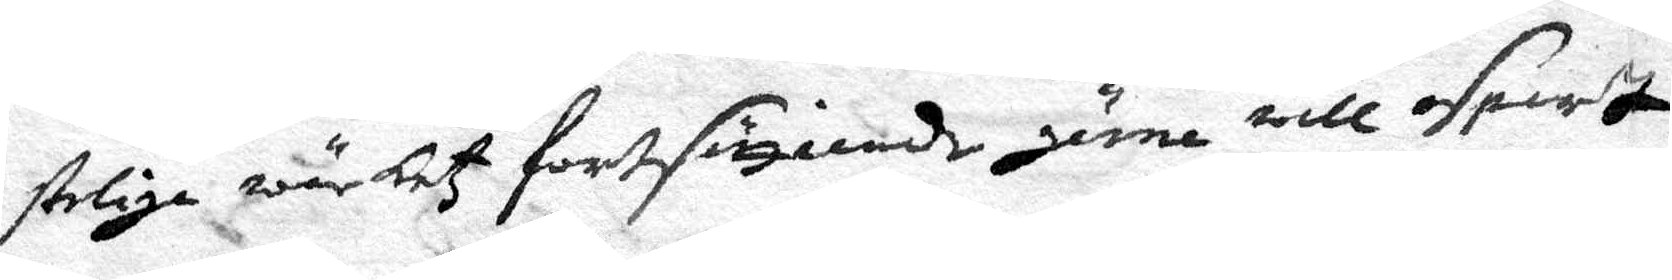steliga wärketz fortsättiande gärna ville osparth
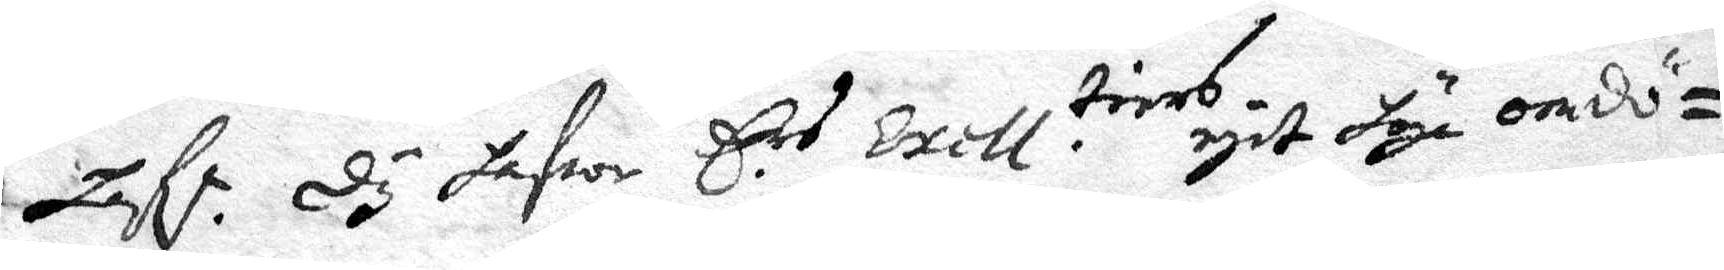haft. dy hafwa Ers Exell tiers egit höga omdö¬
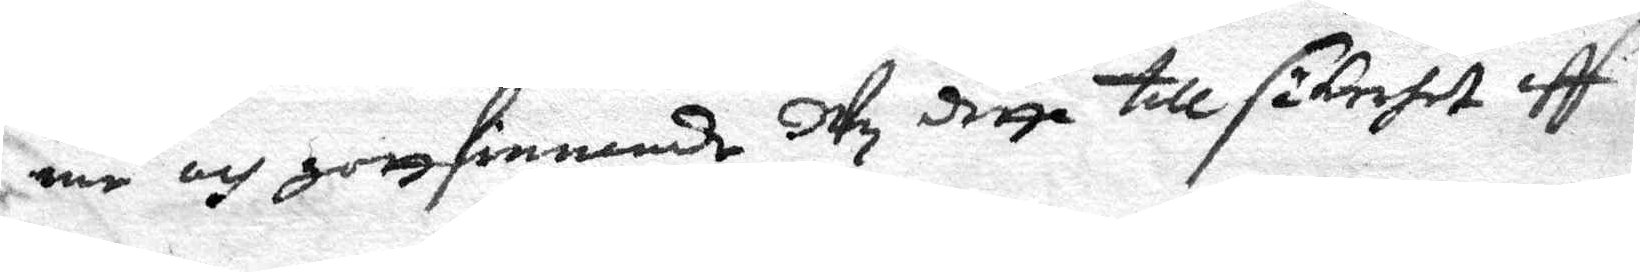me och gottfinnande Uty detta till säKerhet aff
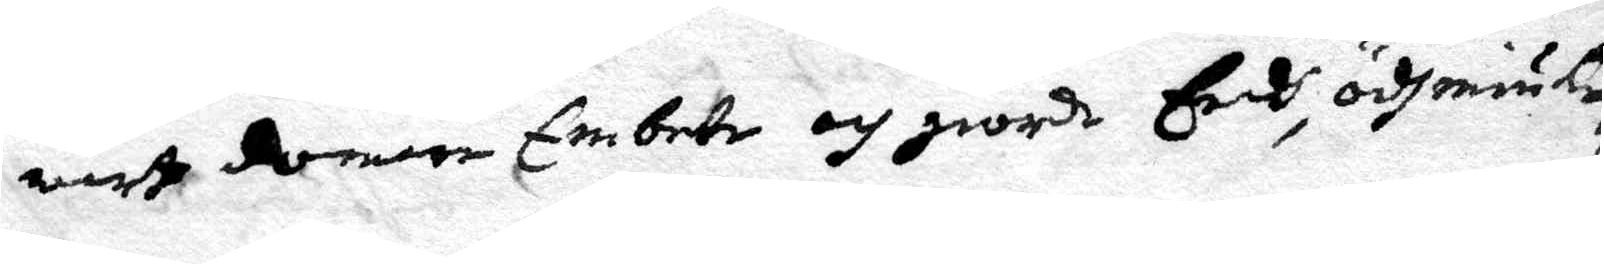wårt domare Embete och giorda Eedh, ödhmiüke¬
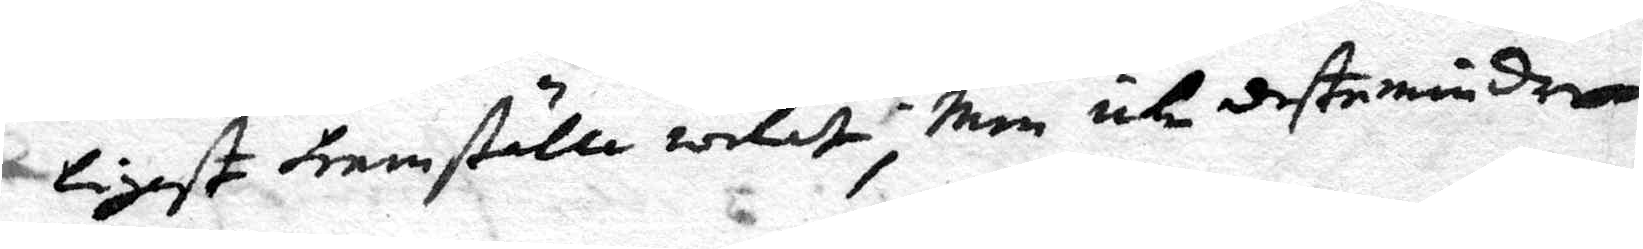ligst hemställa welath; men icke destemindre
